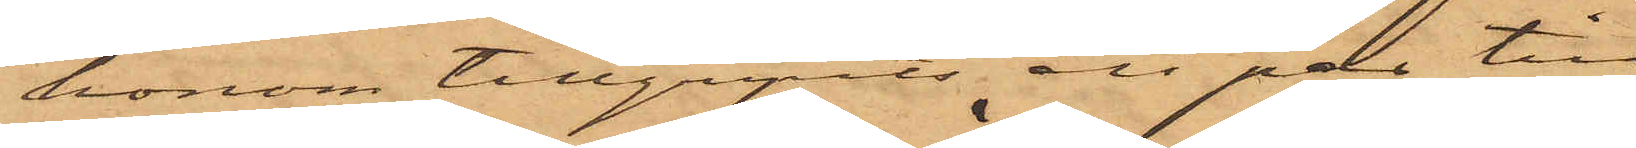honom tillgripits ett par till
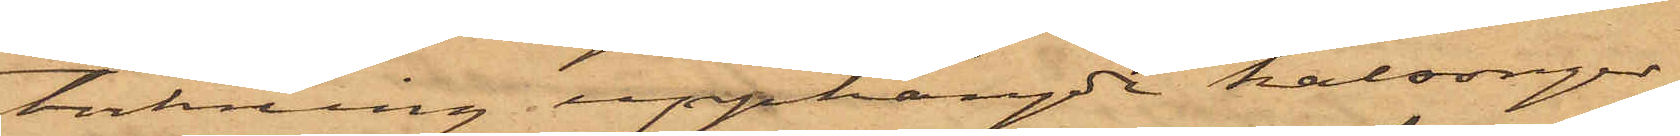torkning upphängde kalsonger,
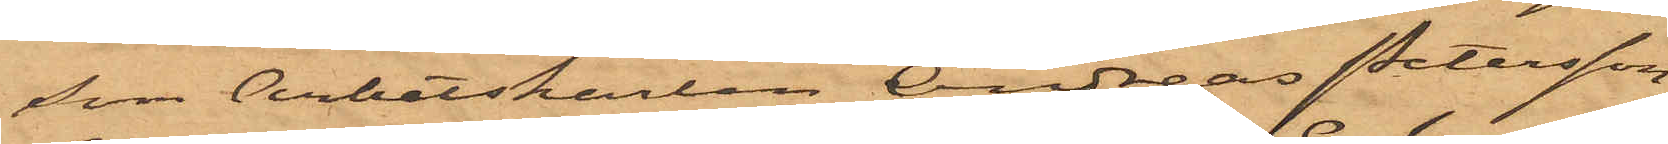som Arbetskarlen Andreas Petersson,
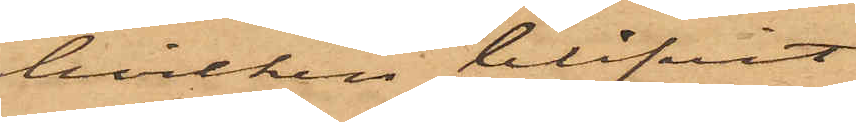hvilken blifvit
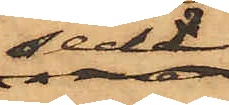sedd
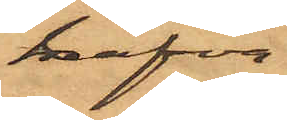hafva
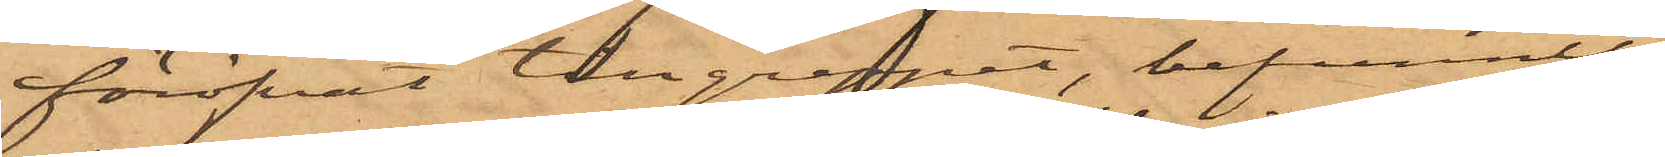föröfvat tillgreppet, befunnits
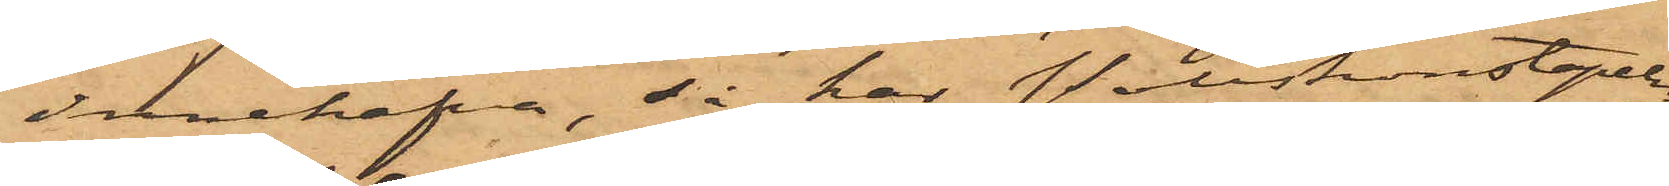Innehafva, så har Poliskonstapeln
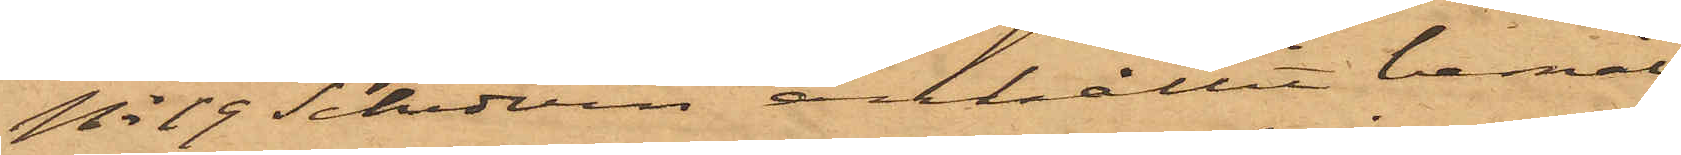No 19 Schedvin anhållit bemäl¬
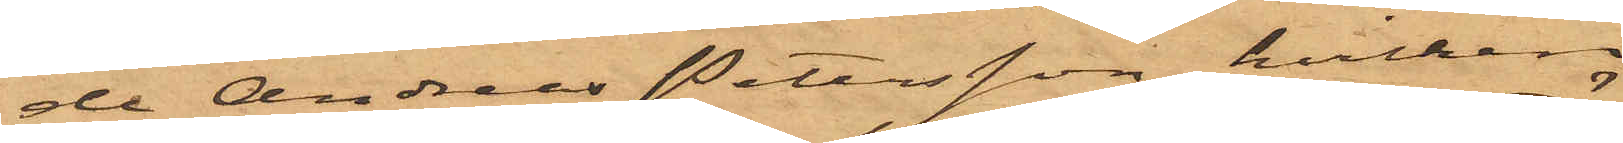de Andreas Petersson, hvilken
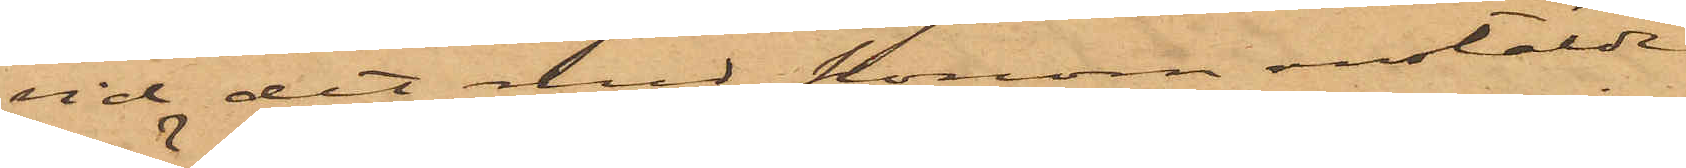vid det med honom anstälde
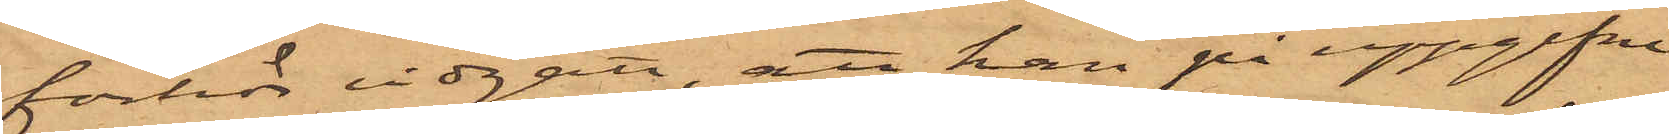förhör vidgått, att han på uppgifne
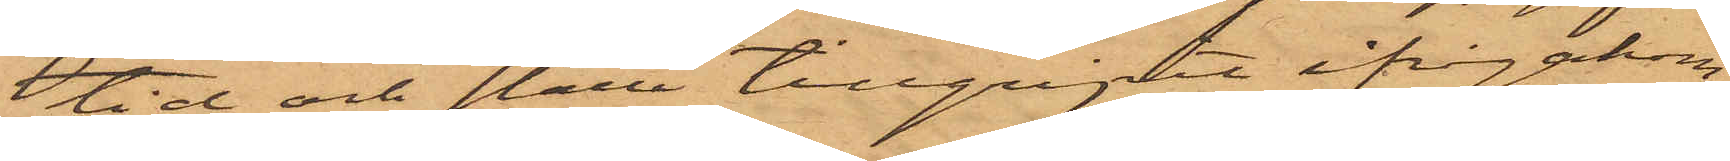tid och ställe tillgripit ifrågakom¬
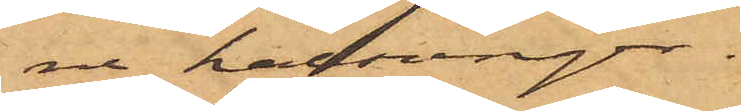ne kalsonger.
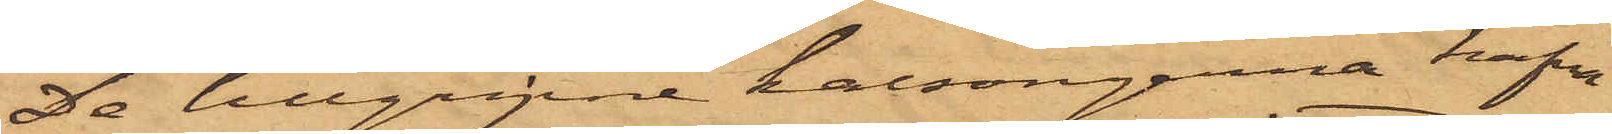De tillgripne kalsongerna hafva
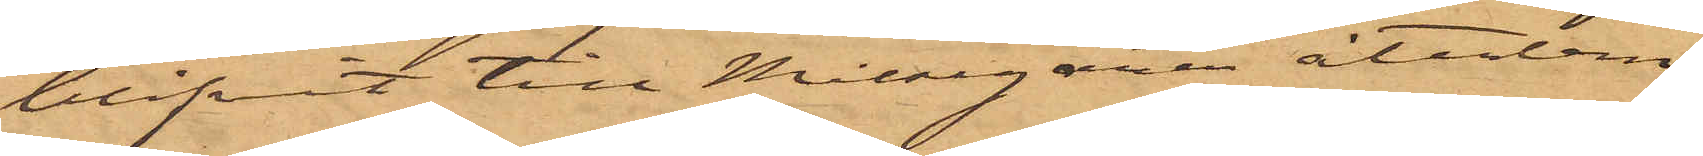blifvit till Målsegaren återlem¬
